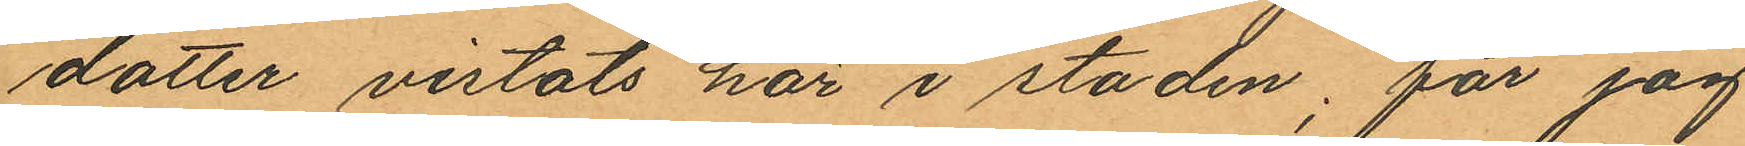dotter vistats här i staden; får jag
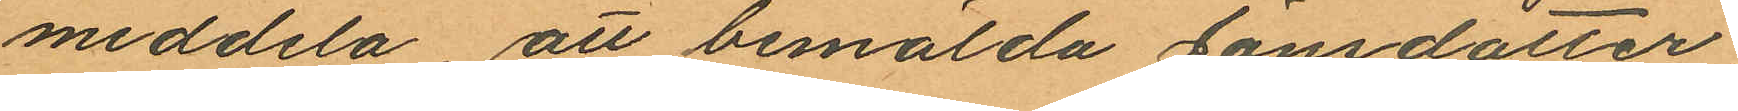meddela, att bemälda Jönsdotter,
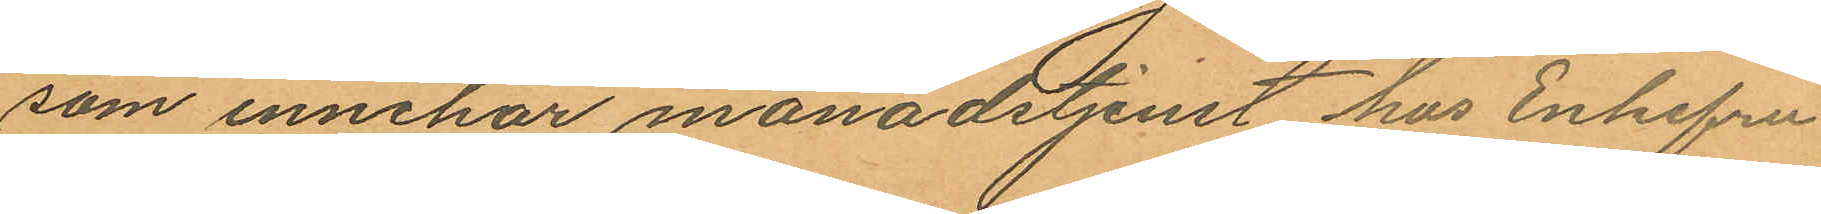som innehar månadstjenst hos Enkefru
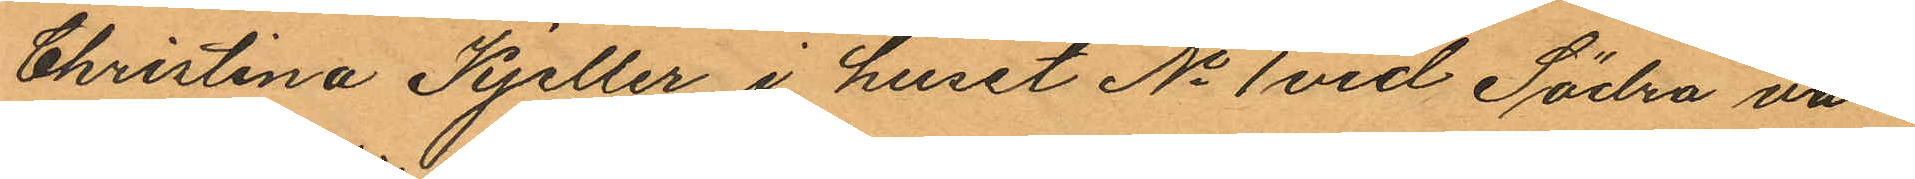Christina Kjeller i huset No 1 vid Södra vä¬
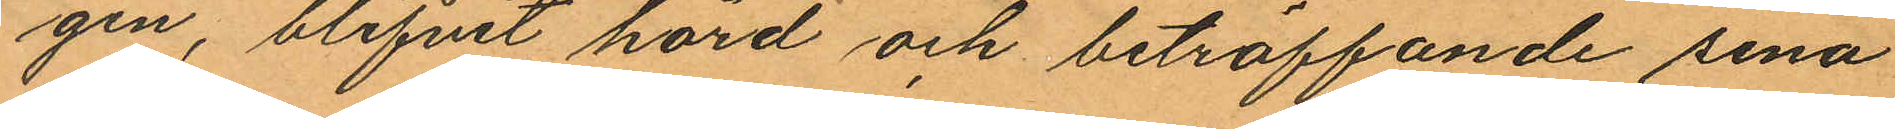gen, blifvit hörd och beträffande sina
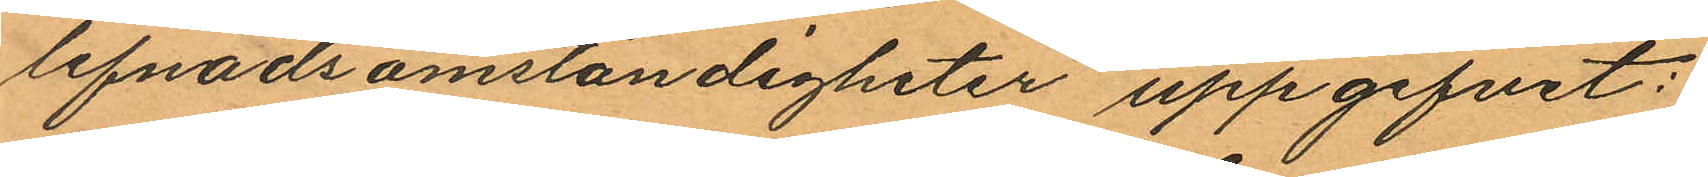lefnadsomständigheter uppgifvit:
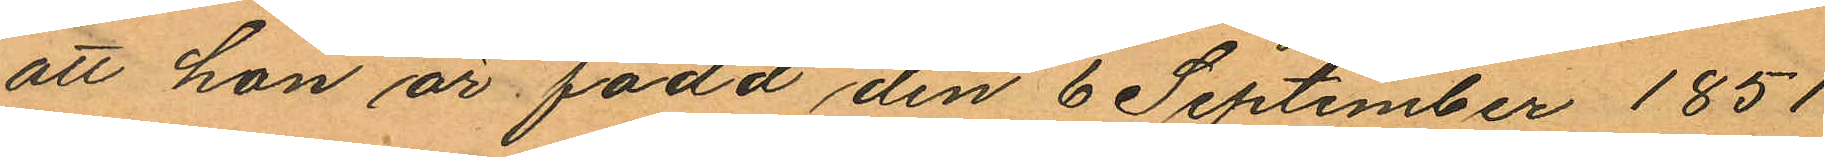att hon är född den 6 September 1851
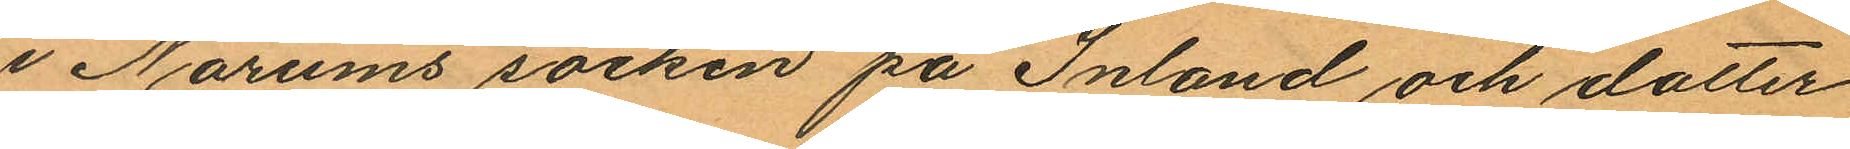i Norums socken på Inland och dotter
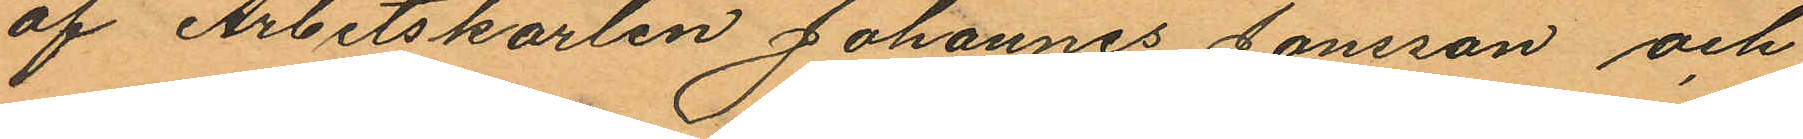af Arbetskarlen Johannes Jönsson och
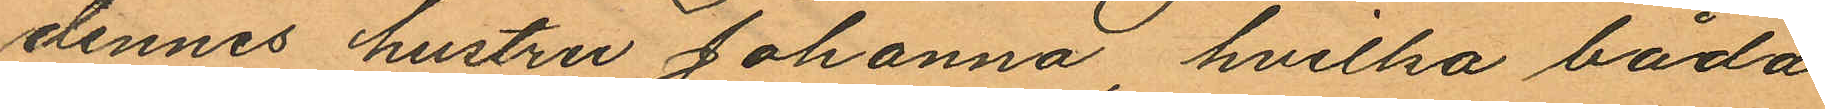dennes hustru Johanna, hvilka båda
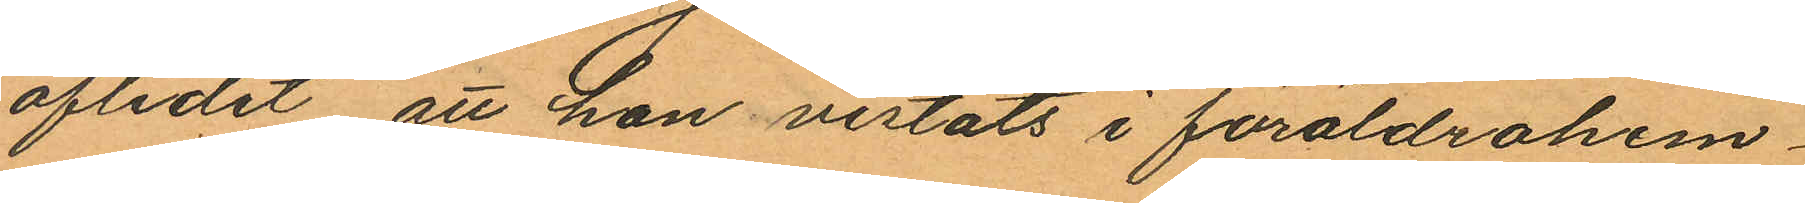aflidit att hon vistats i föräldrahem¬
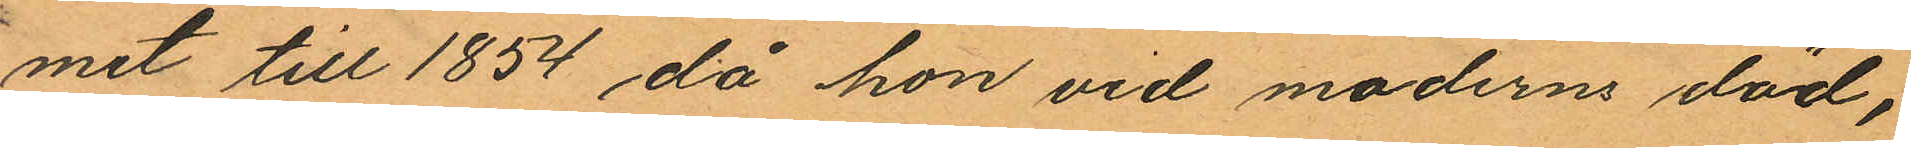met till 1854 då hon vid moderns död,
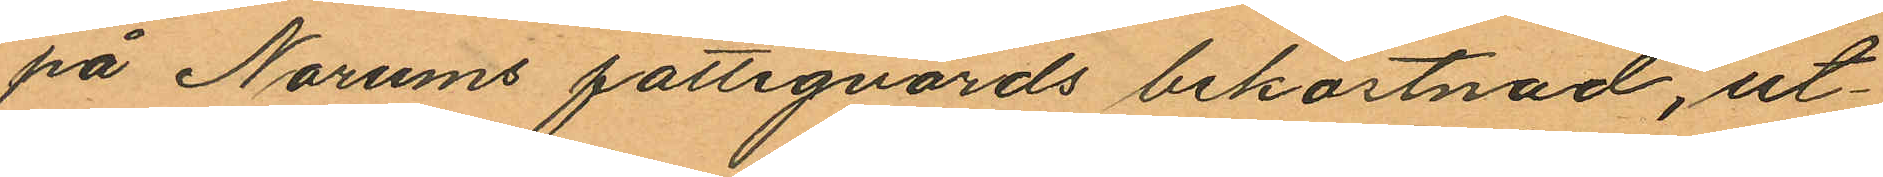på Norums fattigvårds bekostnad, ut¬
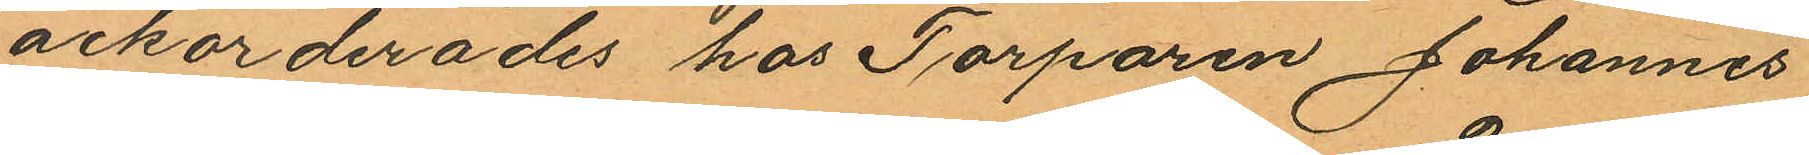ackorderades hos Torparen Johannes
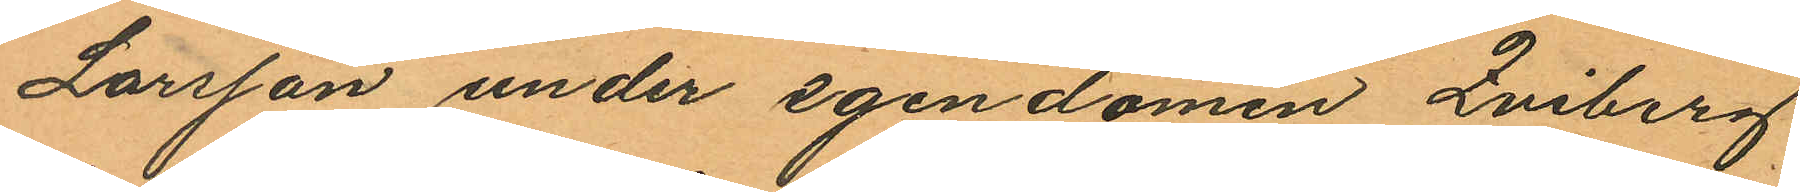Larsson under egendomen Qviberg
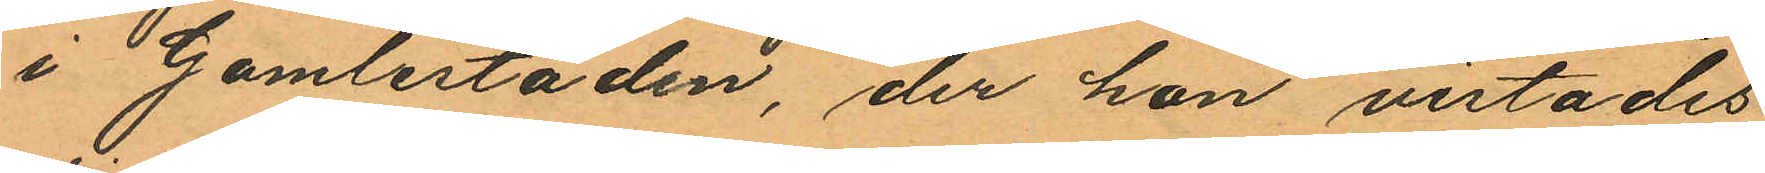i Gamlestaden, der hon vistades
